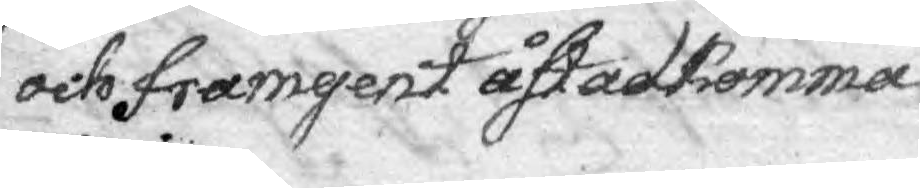och framgent åstadkomma
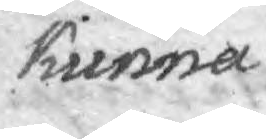kunna.
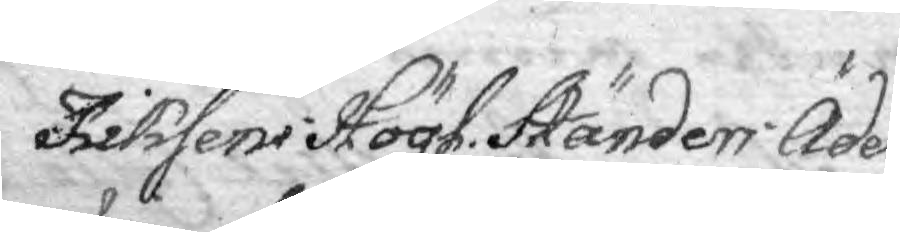Riksens Högl. Ständers Ädel¬
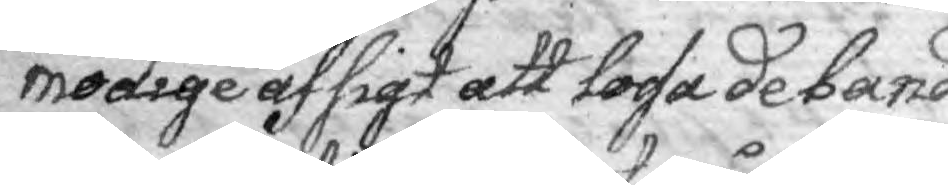modige afsigt att lossa de band
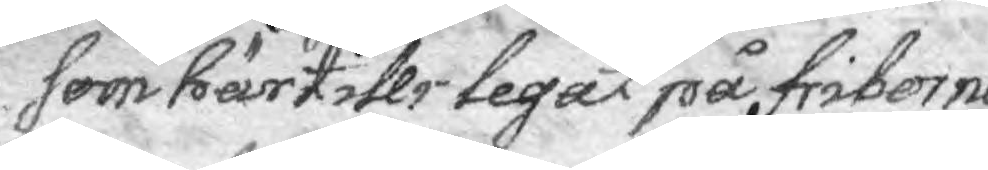som härtill legat på friborne
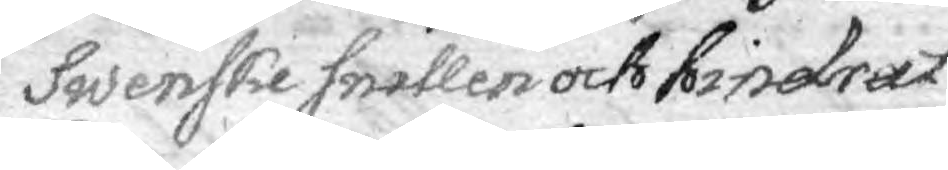Swenske snillen och hindrat
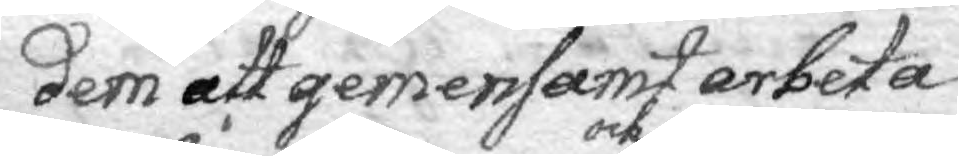dem att gemensamt arbeta
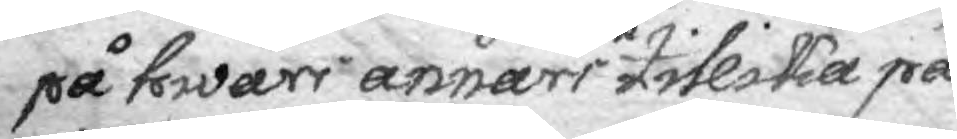på hwars annars och tillika på
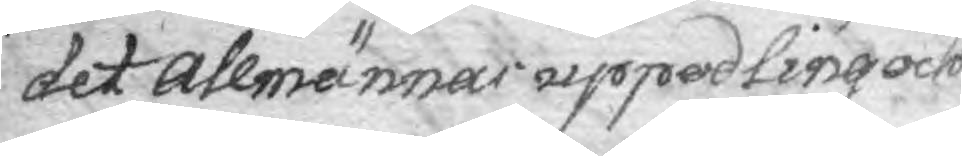det Allmännas uppodling och
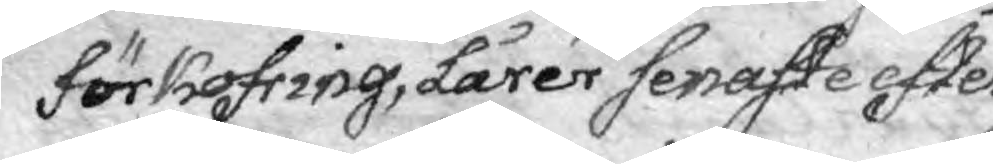förkofring, Lärer senaste efter
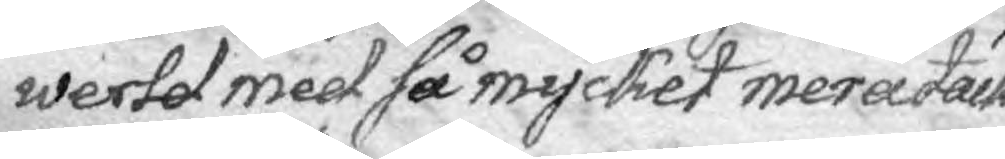werld med så mycket mera tack¬
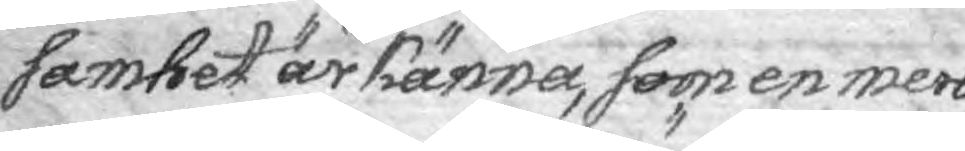samhet ärkänna, som en mera
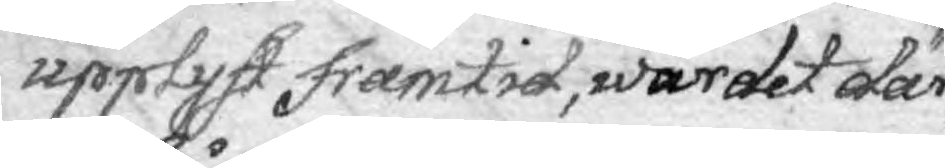upplyft framtid, wärdet där
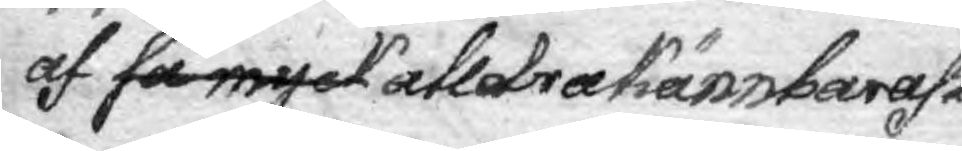af så myck alldra kännbarast
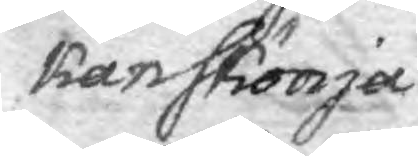kan skönja.
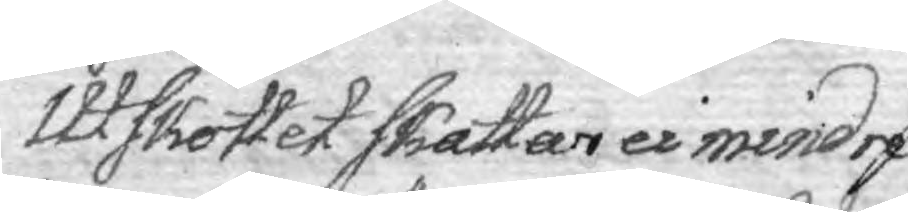Utskottet skattar ei mindre
